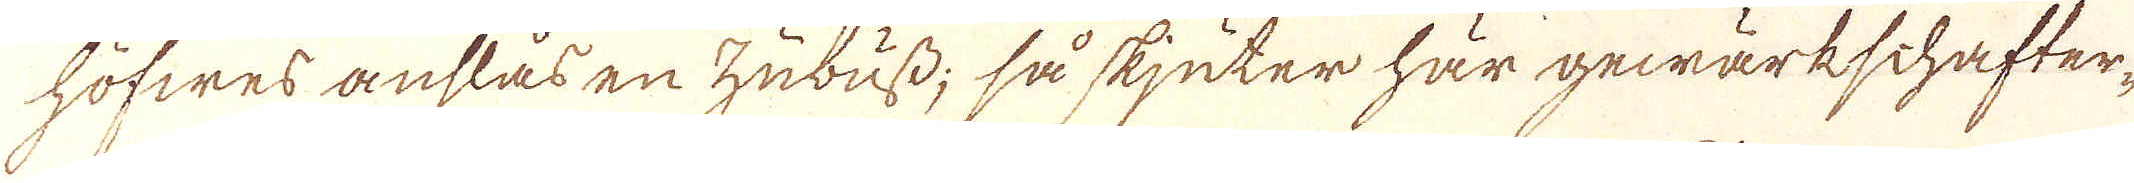höfwes anslås en Zubuss; så skjuter här gewärkschafter-
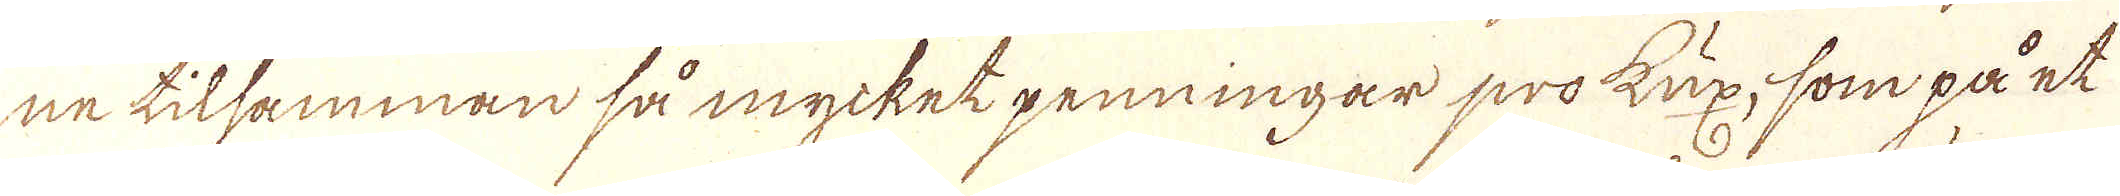ne tilsamman så mycket penningar prokux, som på et
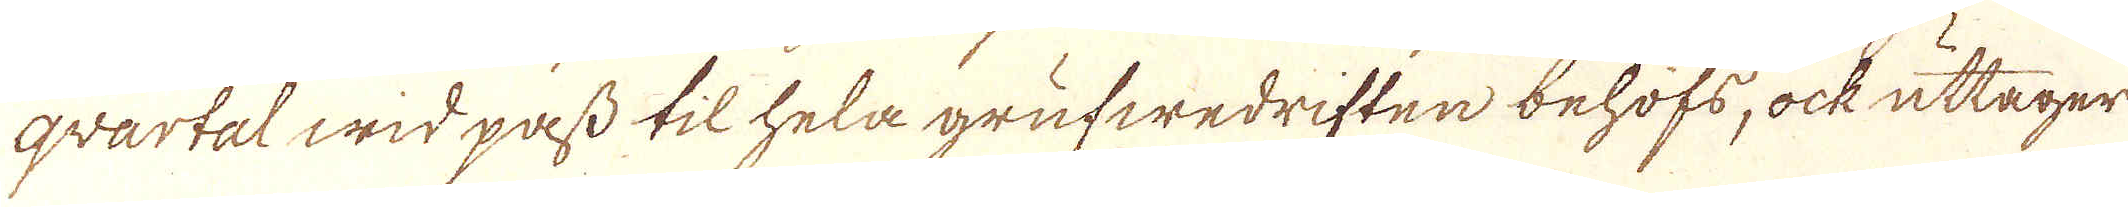qvartal wid pass til hela grufwedriften behöfs, ock uttager
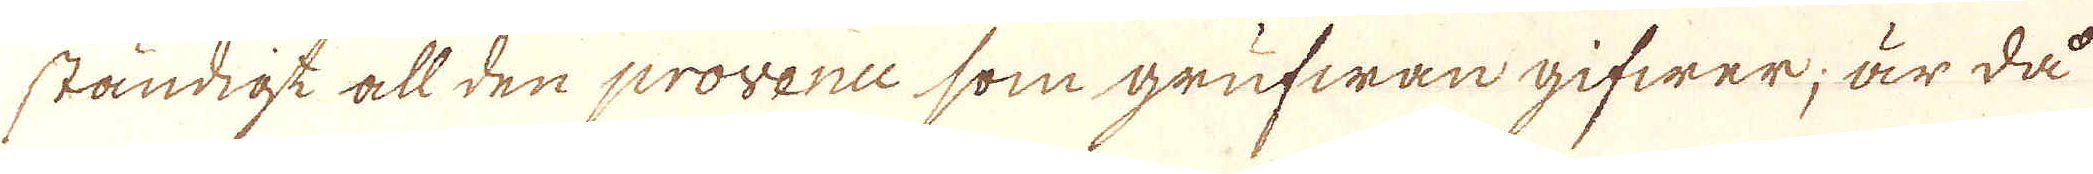ständigt all den provence som grufwan gifwer; är då
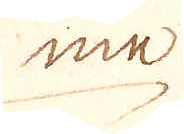me
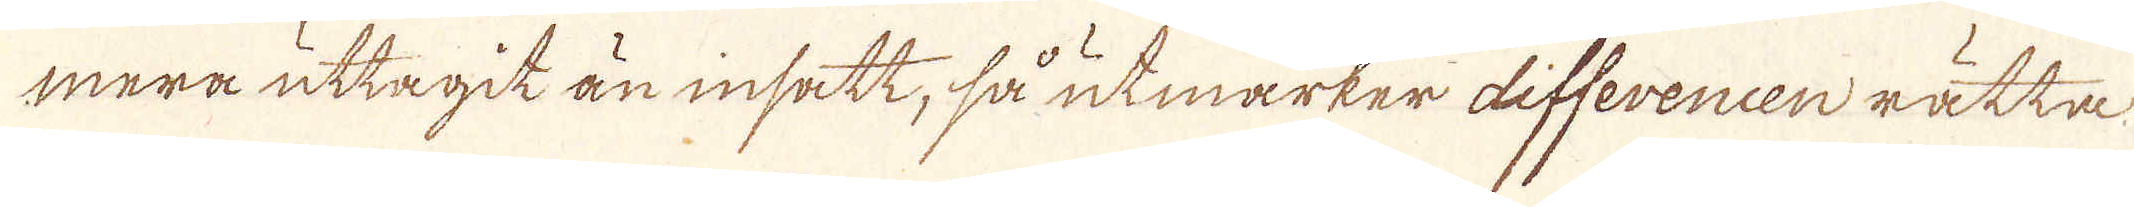mera uttagit än insatt, så utmärker differencen rätta
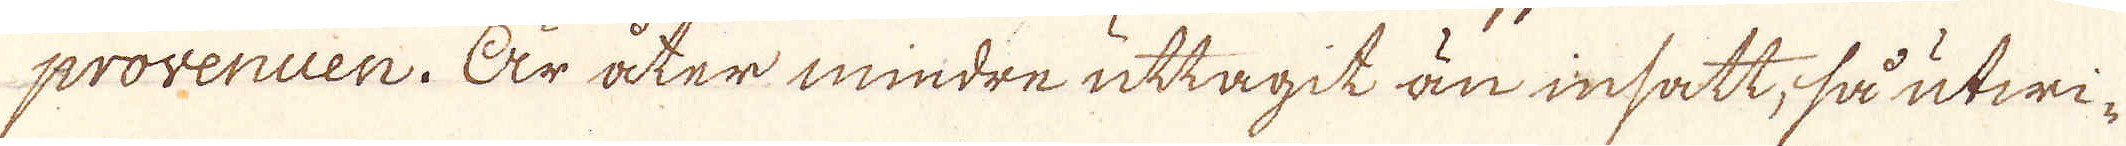provenuen. Är åter mindre uttagit än insatt, så utwi-
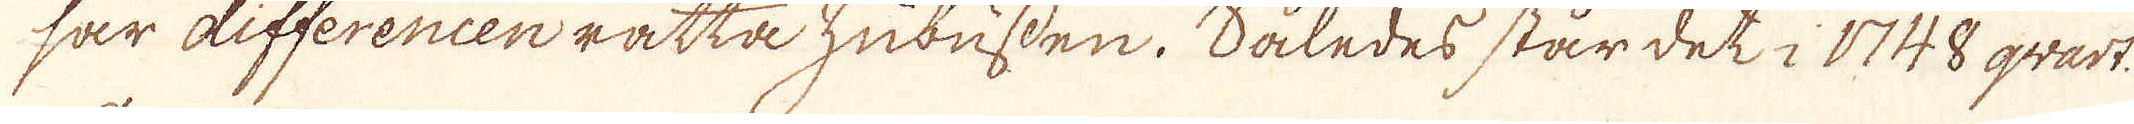sar differencen rätta Zubussen. Således står det i 1748 qvart.
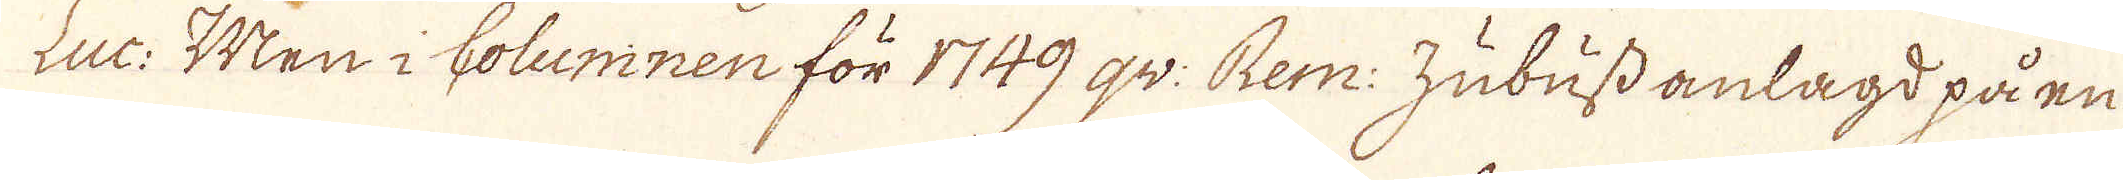Luc: Men i Columnen för 1749 qv: Rem: Zubuss anlagd på en
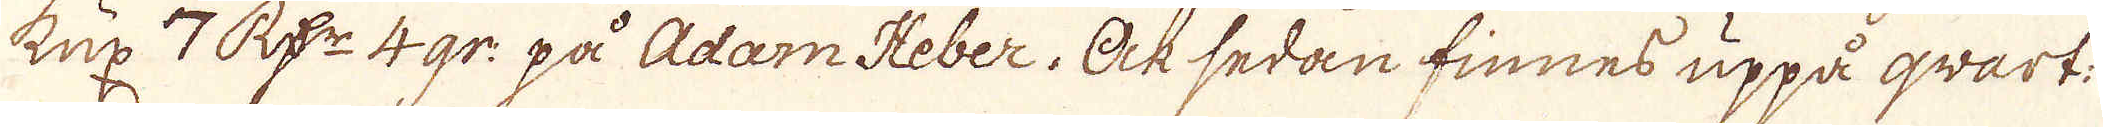Kux 7 R:r 4 gr: på Adam Heber. Ock sedan finnes uppå qvart:
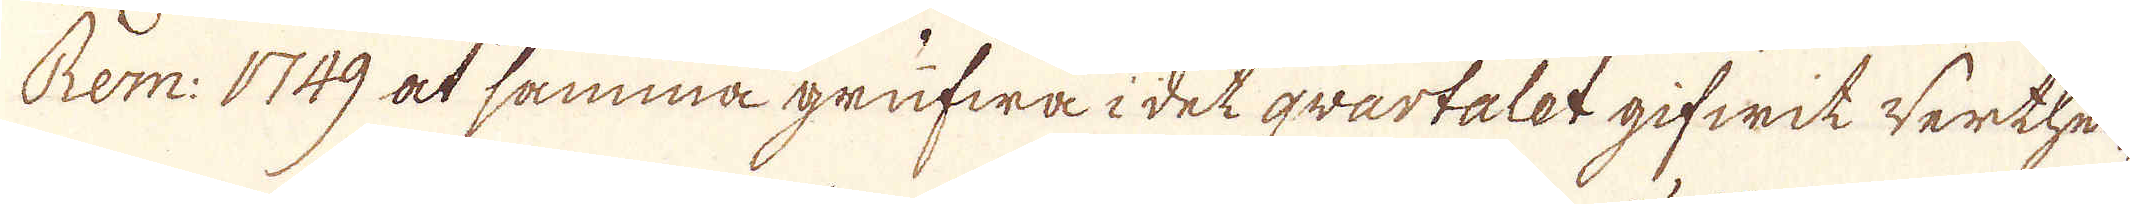Rem. 1749 at samma grufwa i det qvartalet gifwit werthei-
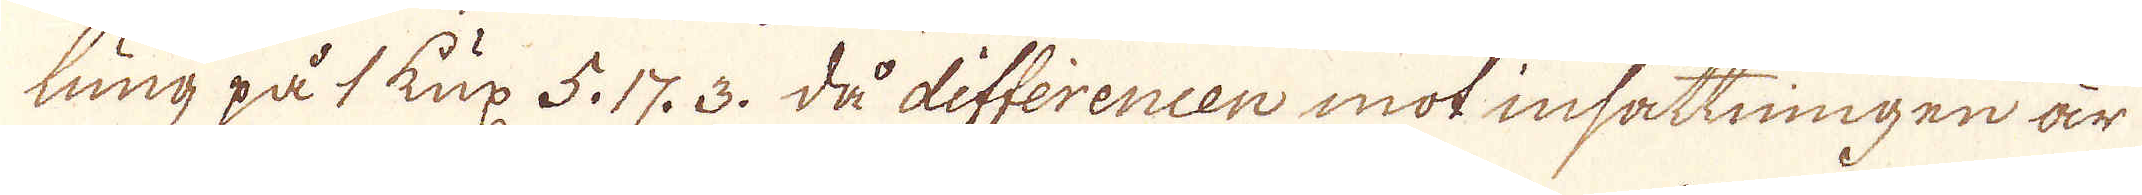ling på 1 Kux 5. 17. 3. då differencen mot insättningen är
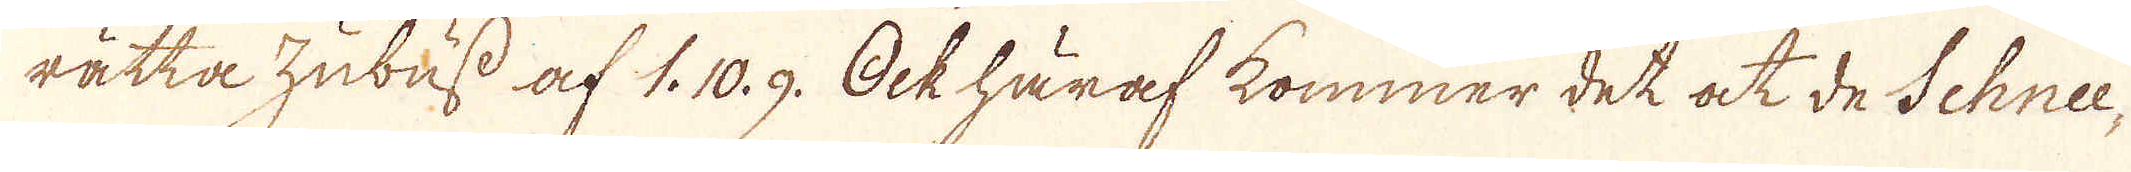rätta Zubuss af 1. 10. 9. Ock häraf kommer det at de Schne-
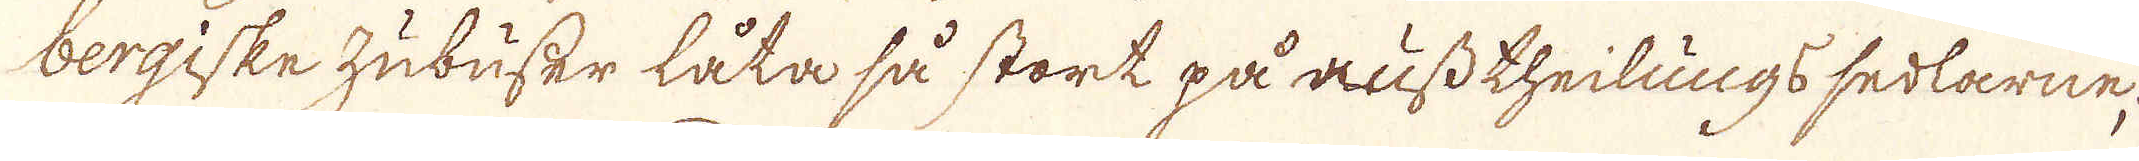bergiske hubuser låta så stort på russ theilungs sedlarne,
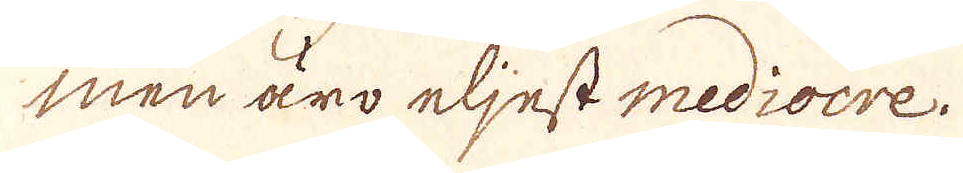men äro eljest mediocre.
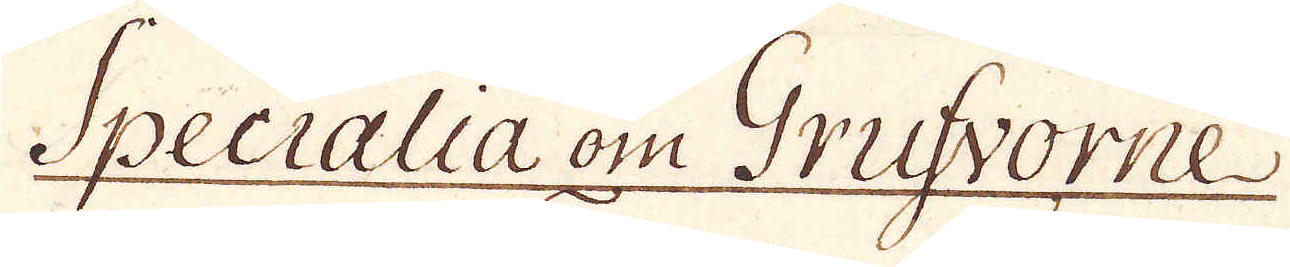Specialla om Grufvorne
